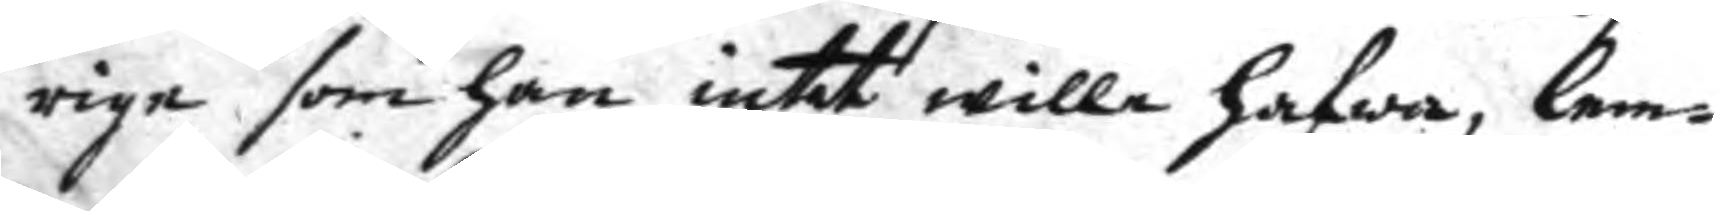rige som han intet wille hafwa, lem¬
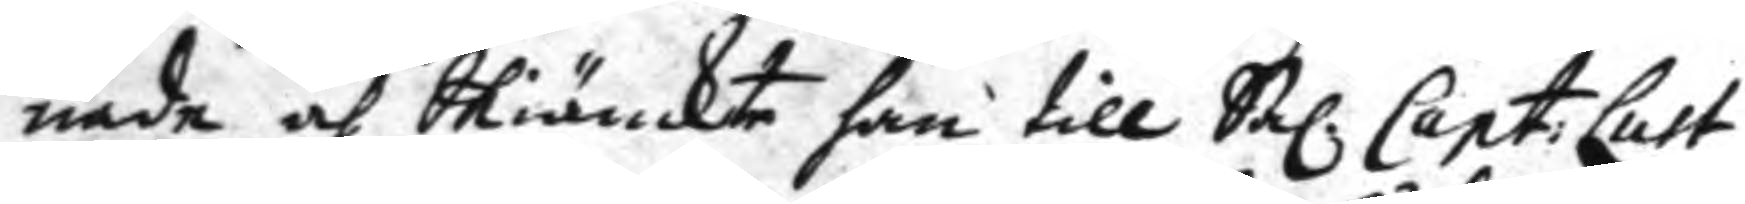nade och Skiänckte han till Sal. Capt: Lust
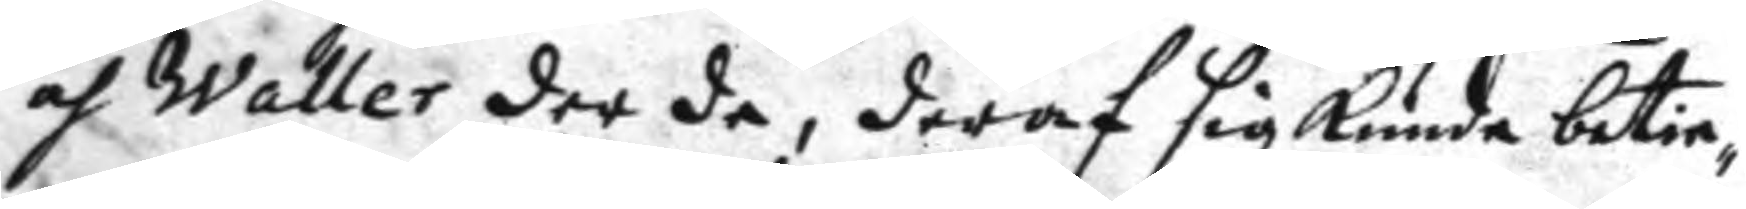och Waller der de, deraf sig kunde betie¬
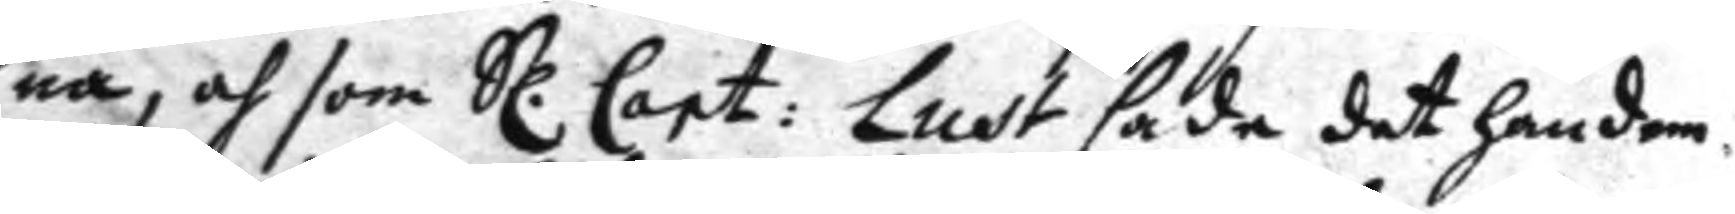na, och som Sl. Capt: Lust sade det han dem
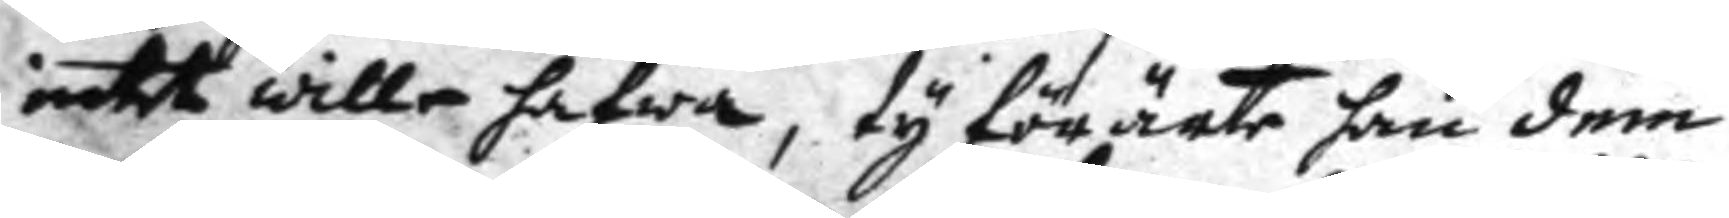intet wille hafwa, ty förärte han dem
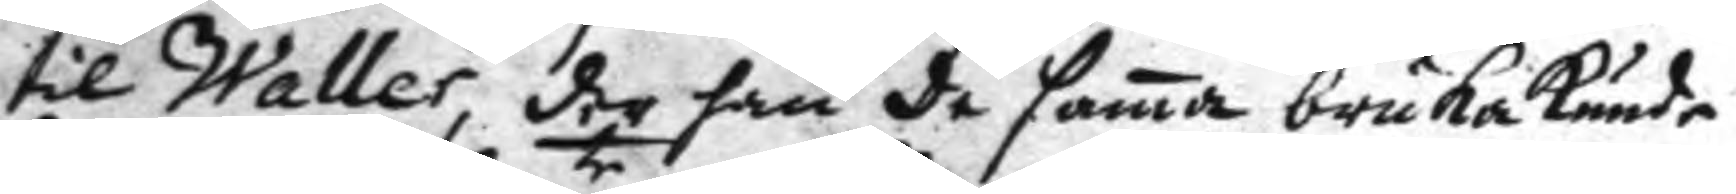til Waller, der han de sama bruka kunde
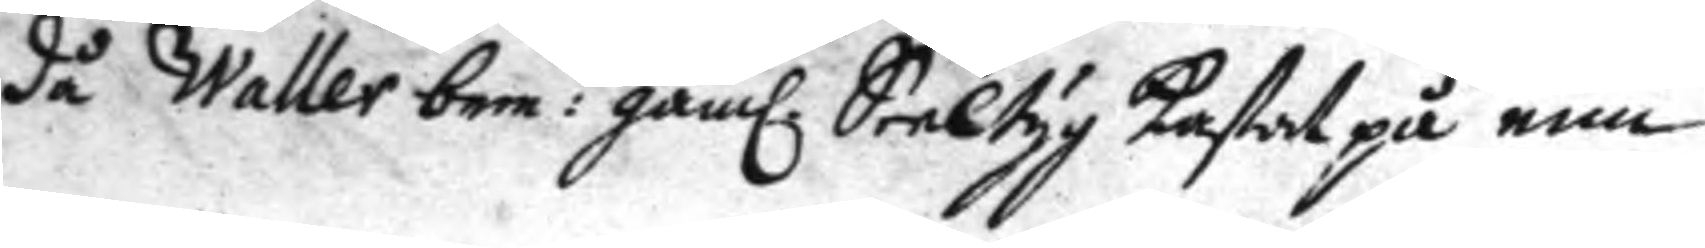då Waller bem:te gaml. Seeltyg kastat på een
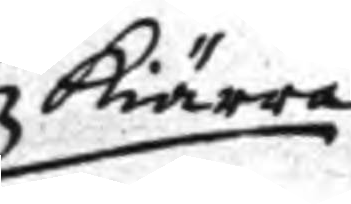kiärra
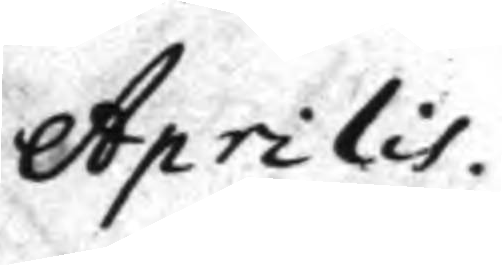Aprilis.
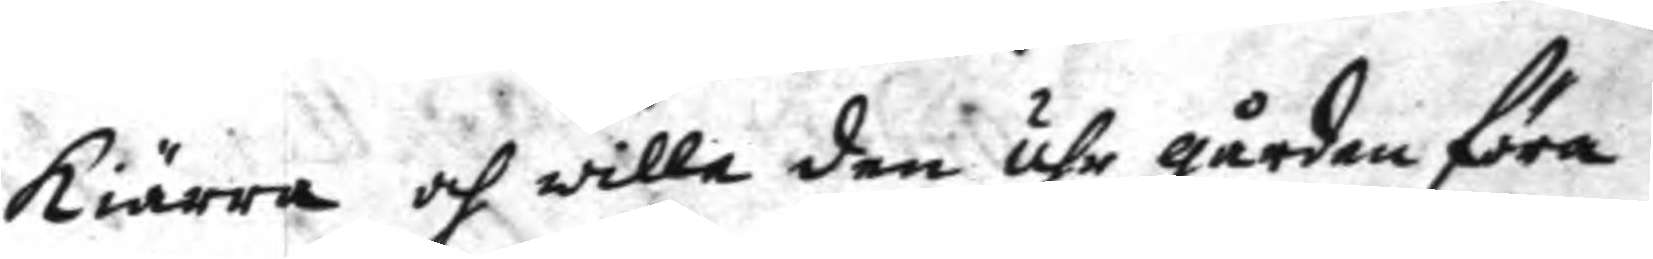kiärra och wille den uhr gården föra
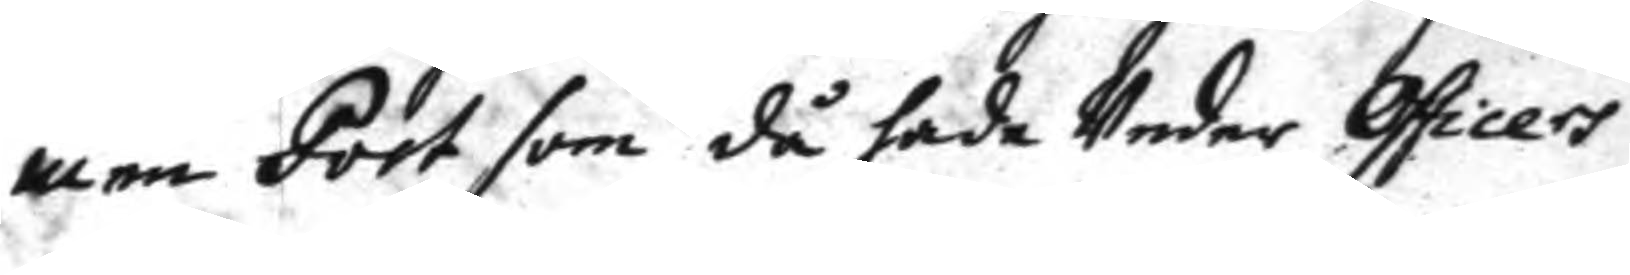men Post då hade Under Officers
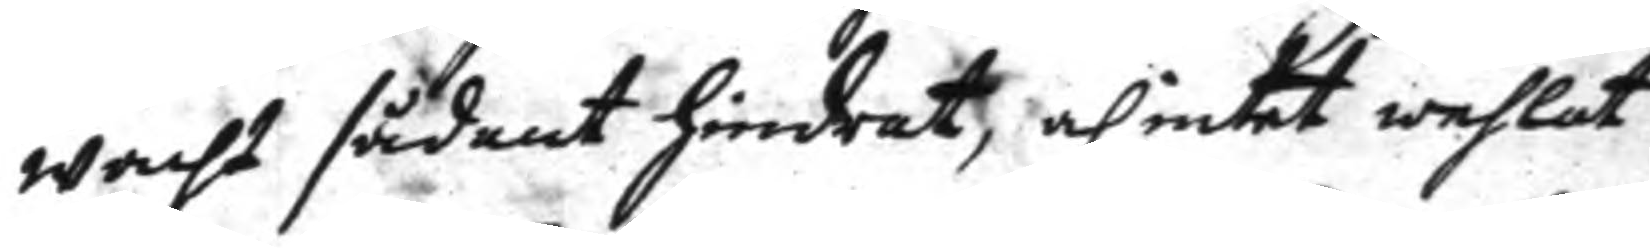wacht sådant hindrat, och intet wehlat
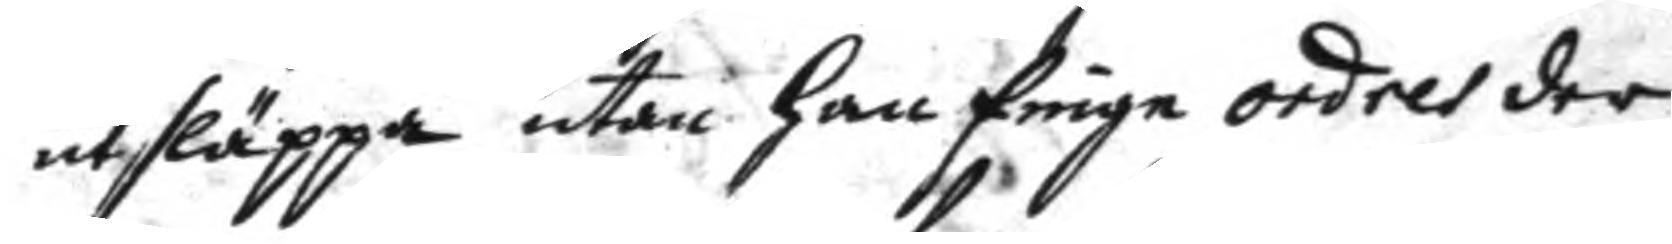utsläppa utan han finge ordres der
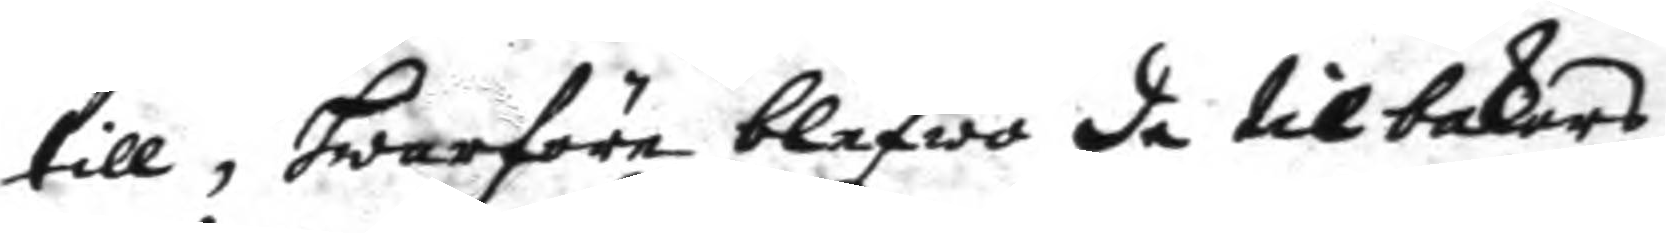till, hwarföre blefwo de tilbakars
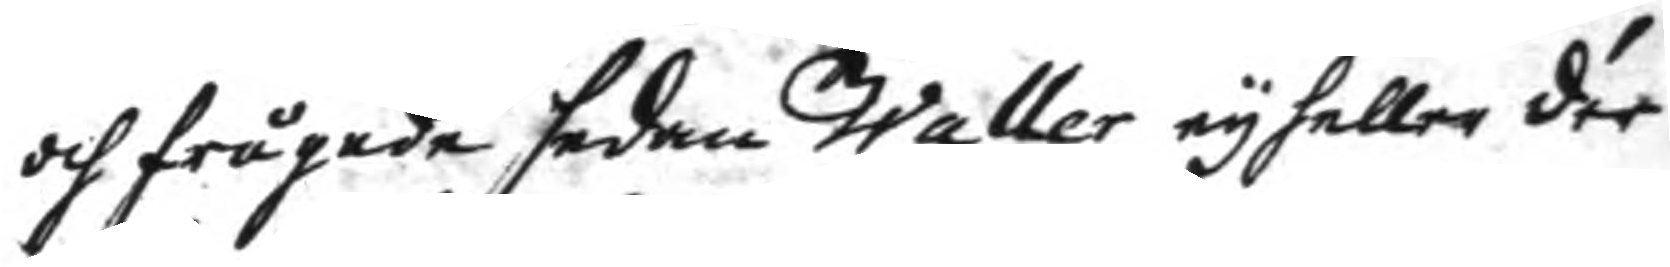och frågade sedan Waller ey heller der
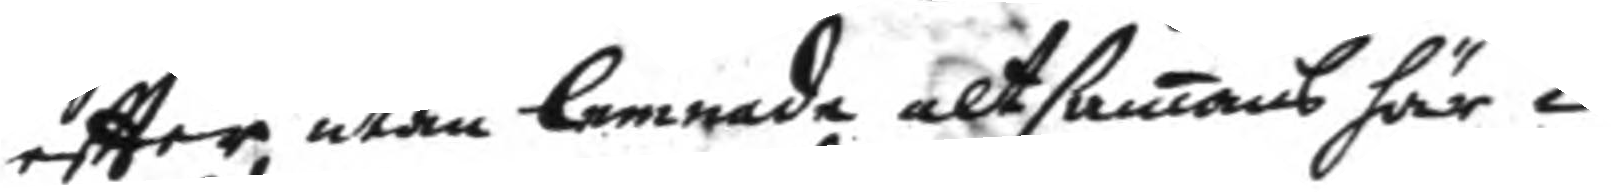eftter, utan lemnade altsamans här i
